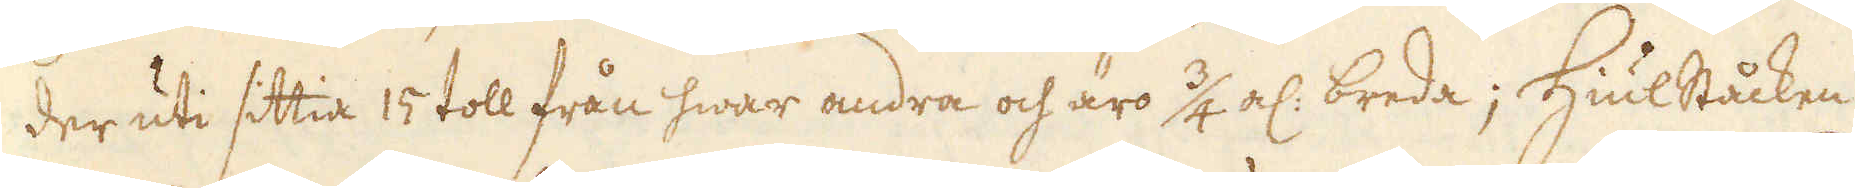der uti sittia 15 toll från hwar andra och äro 3/4 al: breda; Hiulståcken
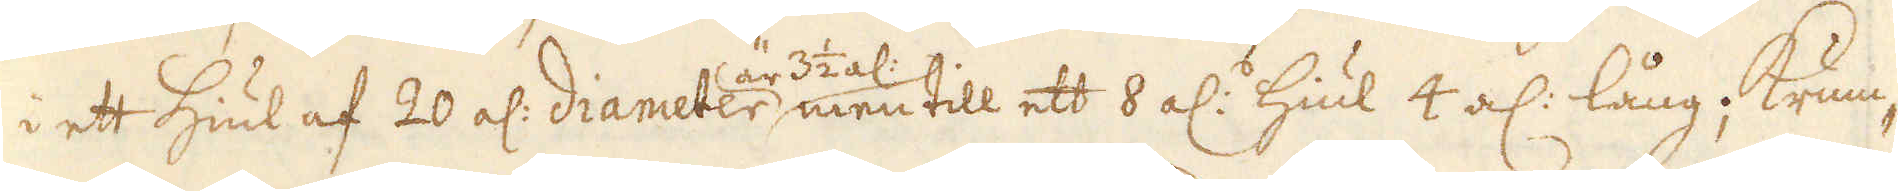i ett hiul af 20 al: diameter är 3 1/2 al: men till ett 8 al:s hiul 4 al: lång; Krum-
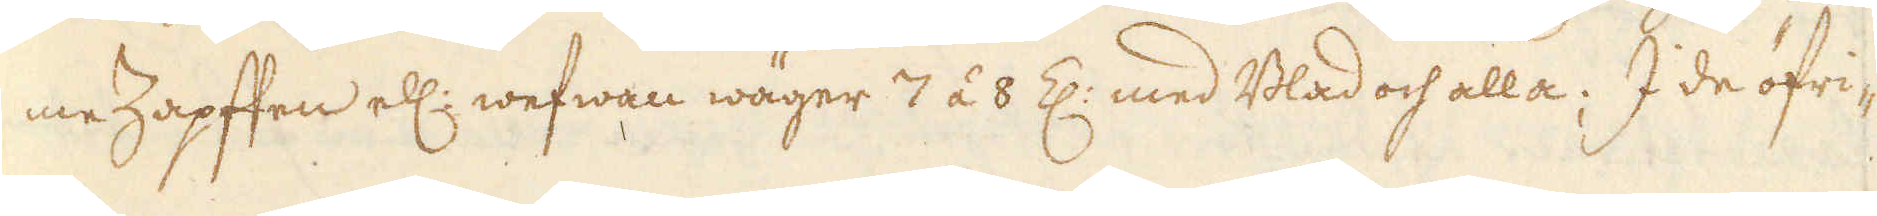me Zapffen ell: wefwan wäger 7 á 8 Z: med Blad och alla; I de öfri-
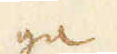ga
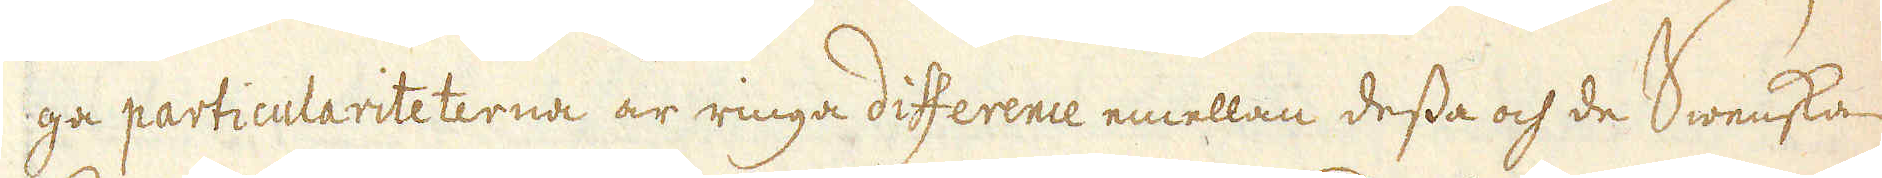ga particulariteterna är ringa difference emellan dessa och de Swenska
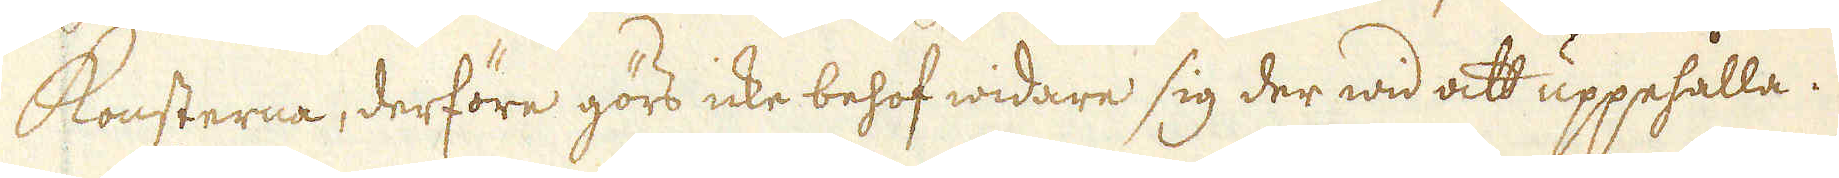konsterna, derföre görs icke behof widare sig der wid att uppehålla.
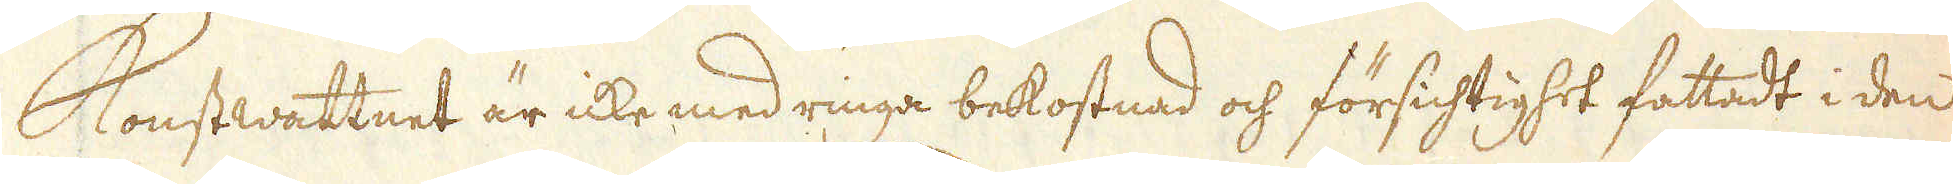Konstwattnet är icke med ringa bekostnad och försichtighet fattadt i den
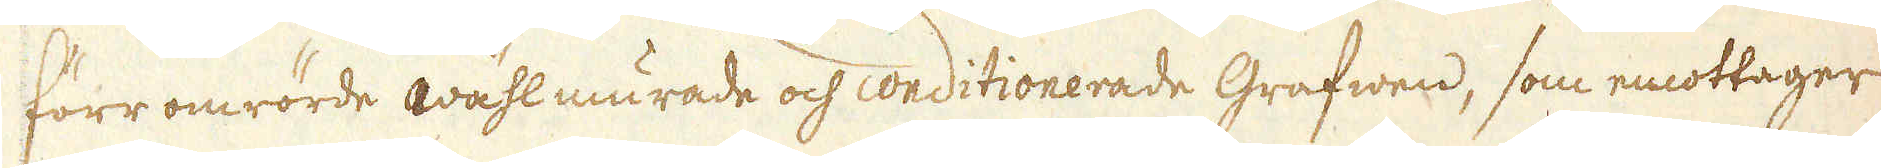förr omrörde wählmurade och conditionerade Grafwen, som emottager
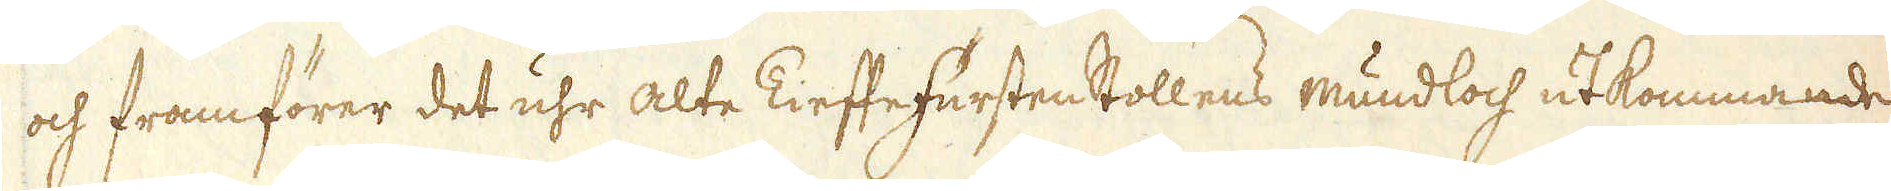och framförer det uhr alte Tieffe Fursten Stollens mundloch utkommande
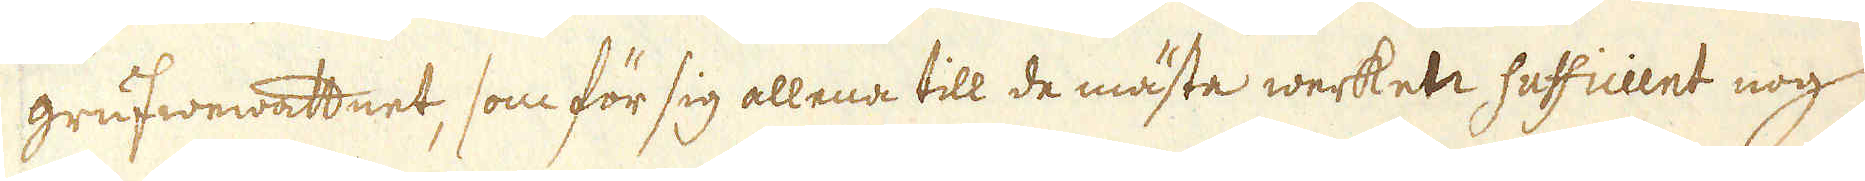grufwewattnet, som för sig allena till de mästa werken sufficient nog
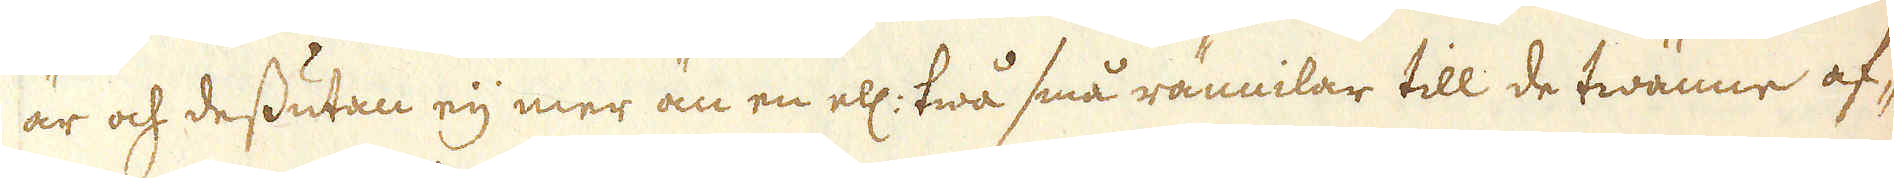är och dessutan eij mer än en ell: twå små rännilar till de twänne af-
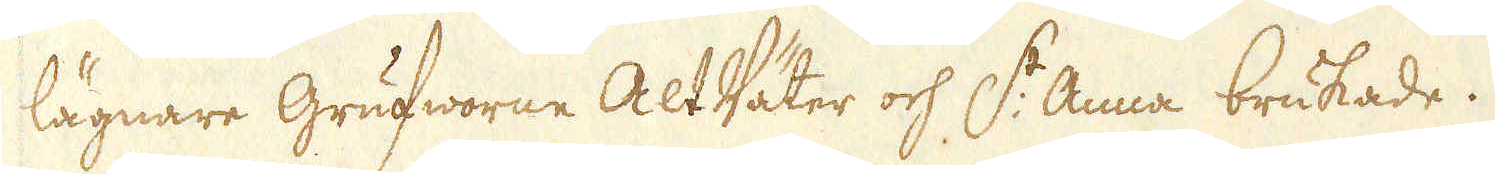lägnare Grufworne Alt Väter och S:t Anna brukade.
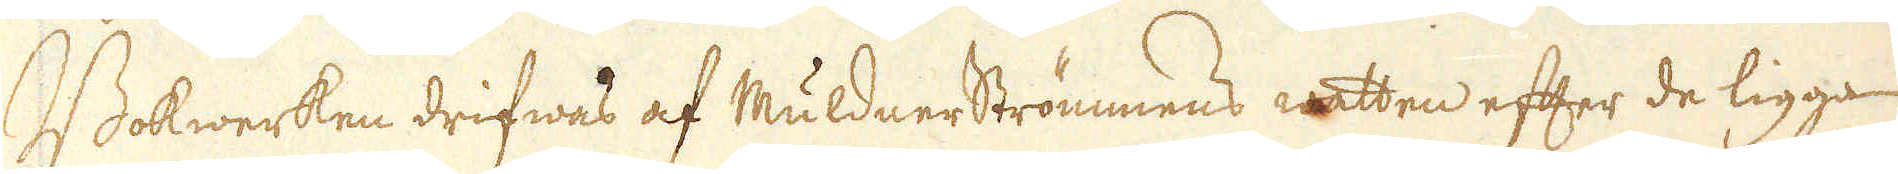Bokwerken drifwes af Muldnerströmmens watten efter de ligga
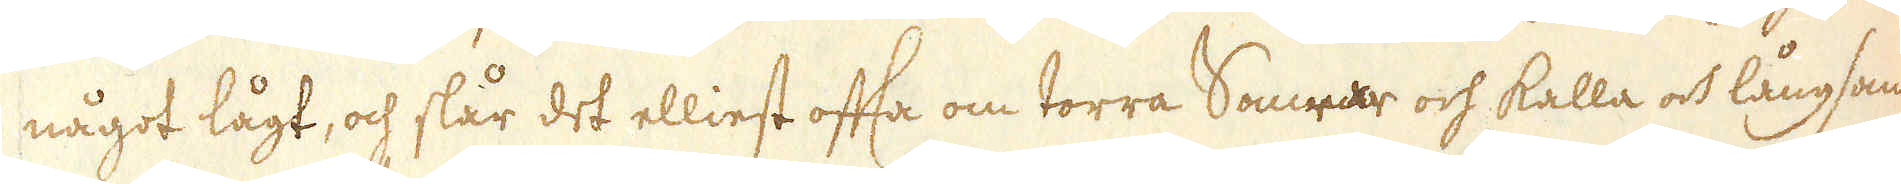något lågt, och slår det elliest ofta om torra Somrar och kalla och långsam-
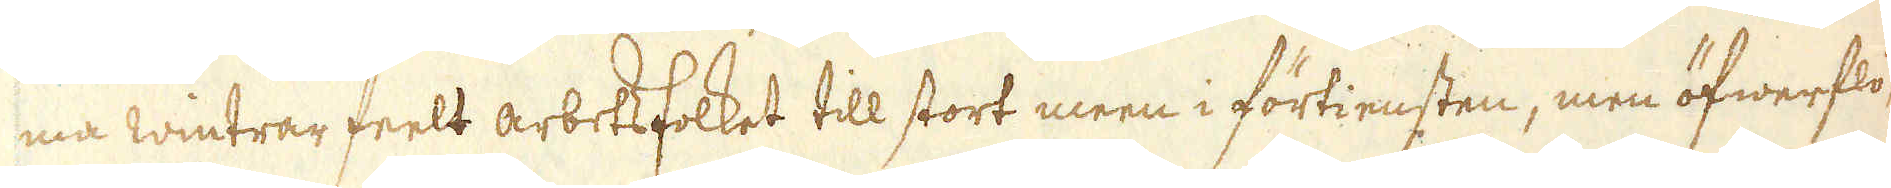ma wintrar feelt arbetsfolket till stort meen i förtiensten, men öfwerflö-
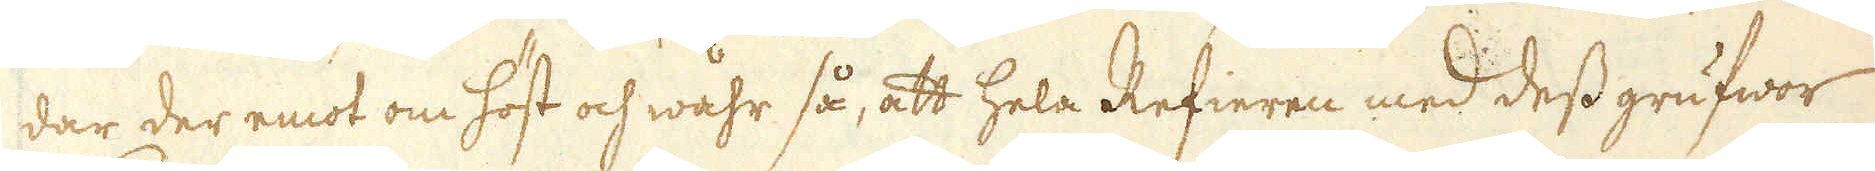dar der emot om höst och wåhr så, att hela Refieren med dess grufwor
